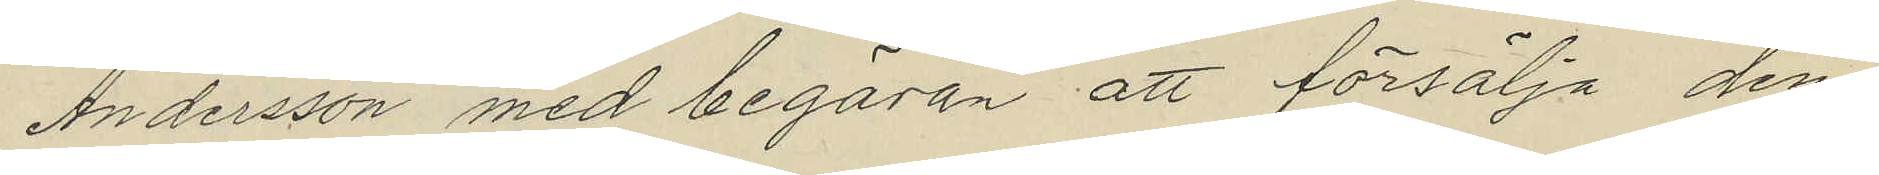Andersson med begäran att försälja den¬
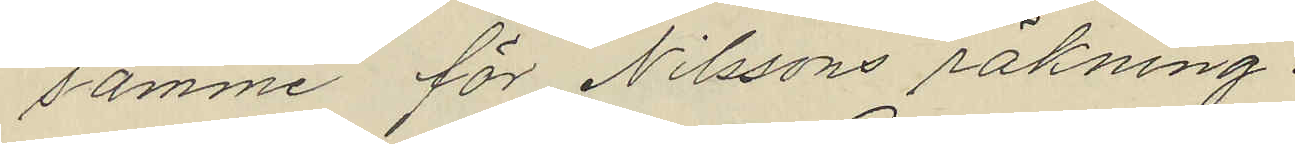samme för Nilssons räkning.
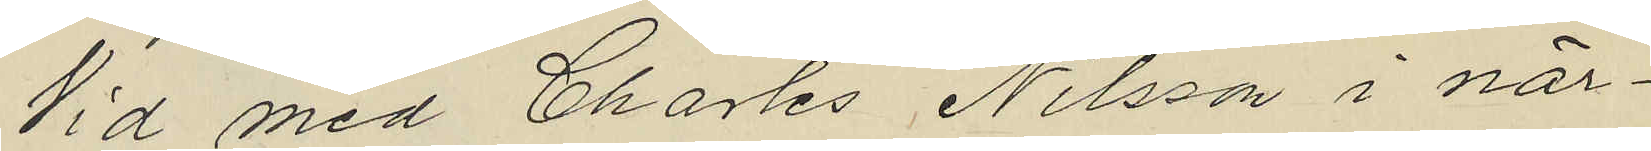Vid med Charles Nilsson i när¬
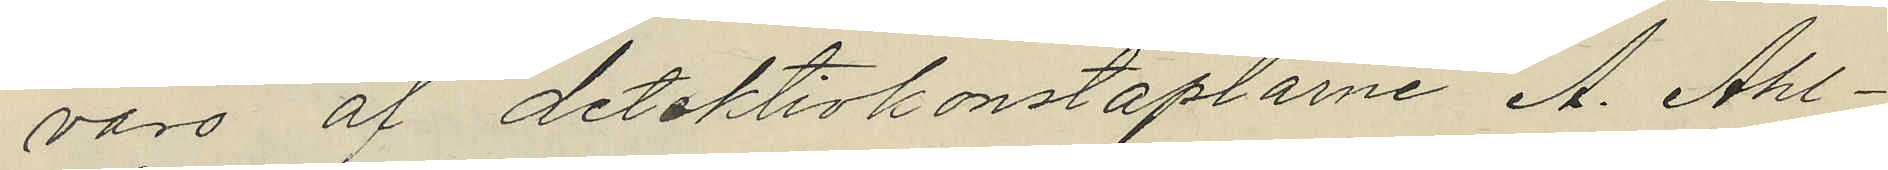varo af detektivkonstaplarne A. Ahl¬
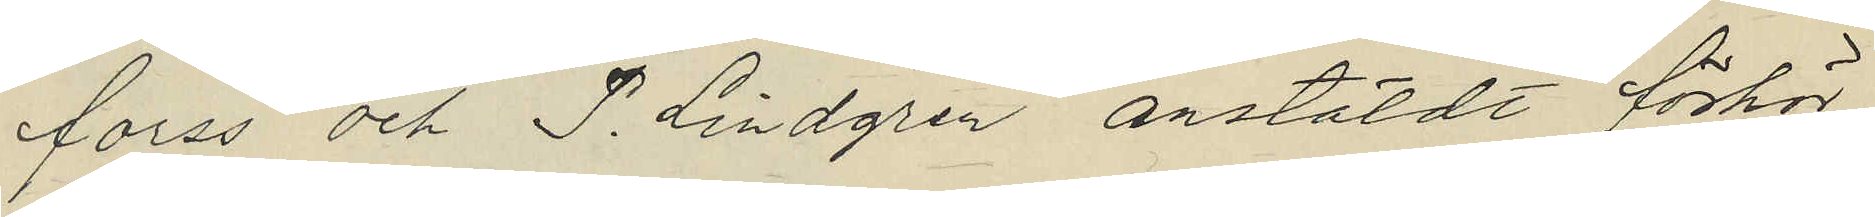forss och P. Lindgren anstäldt förhör
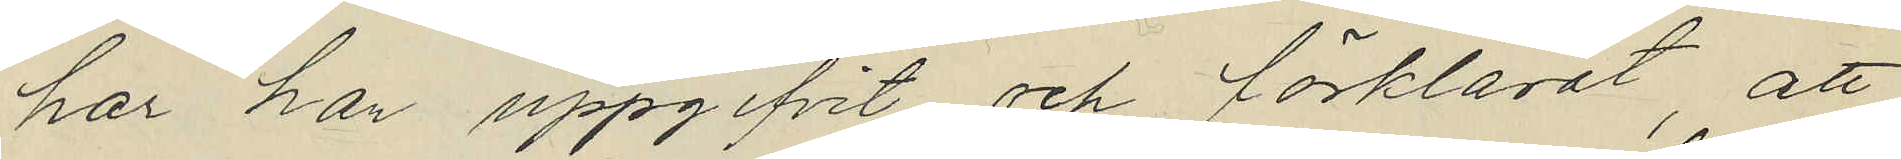har han uppgifvit och förklarat, att
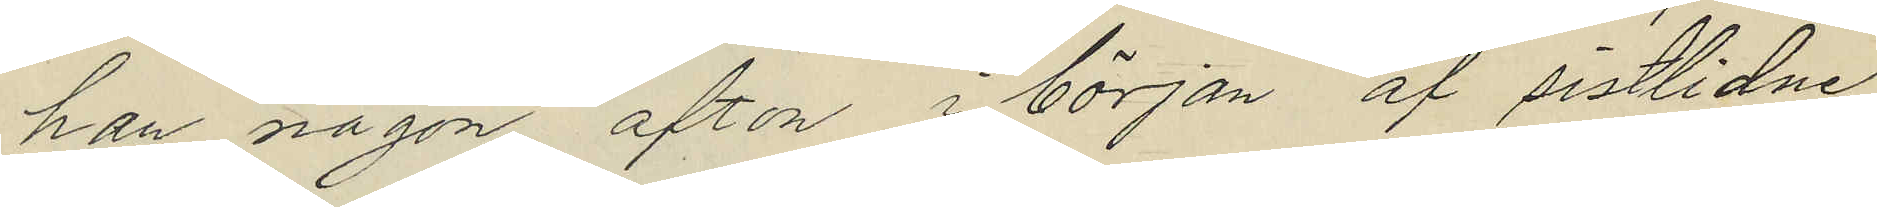han någon afton i början af sistlidne
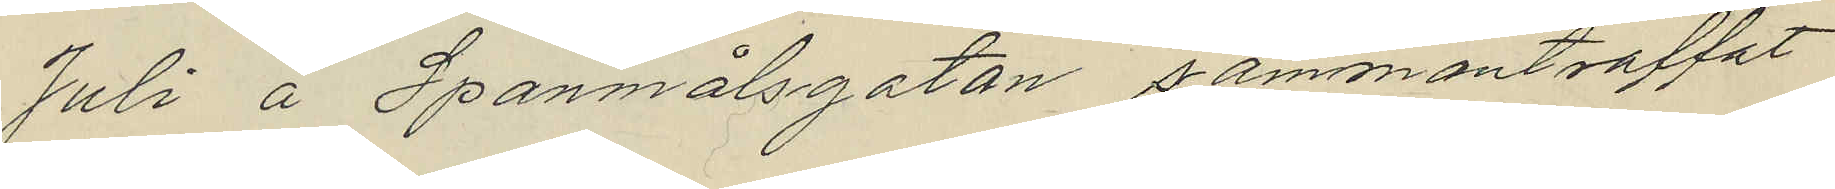Juli å Spanmålsgatan sammanträffat
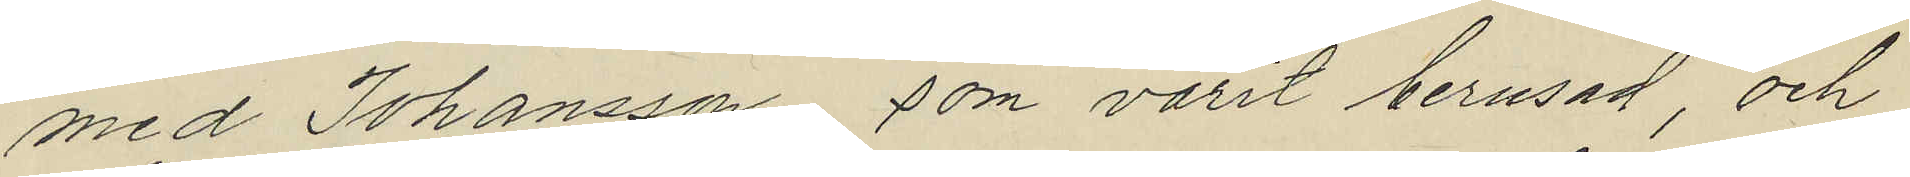med Johansson som varit berusad, och
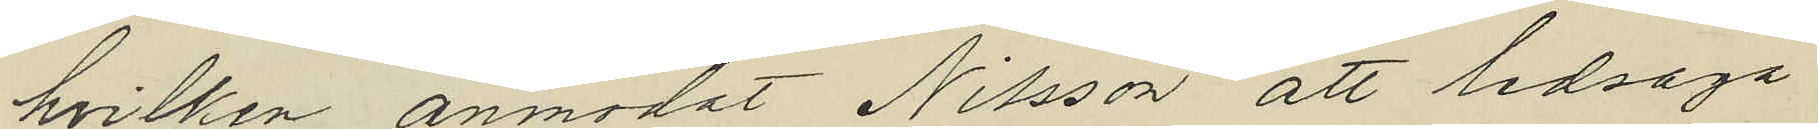hvilken anmodat Nilsson att ledsaga
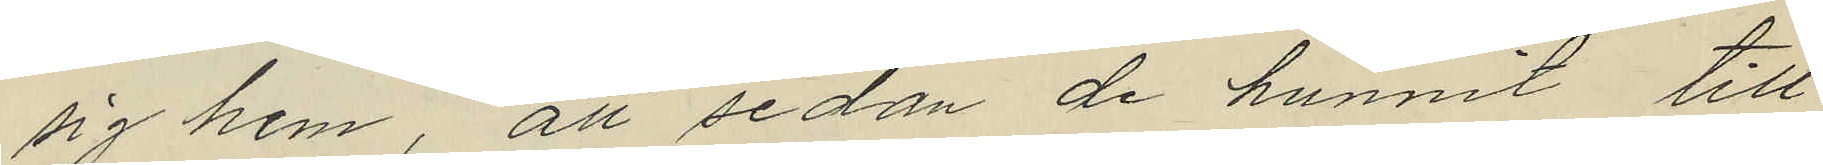sig hem, att sedan de hunnit till
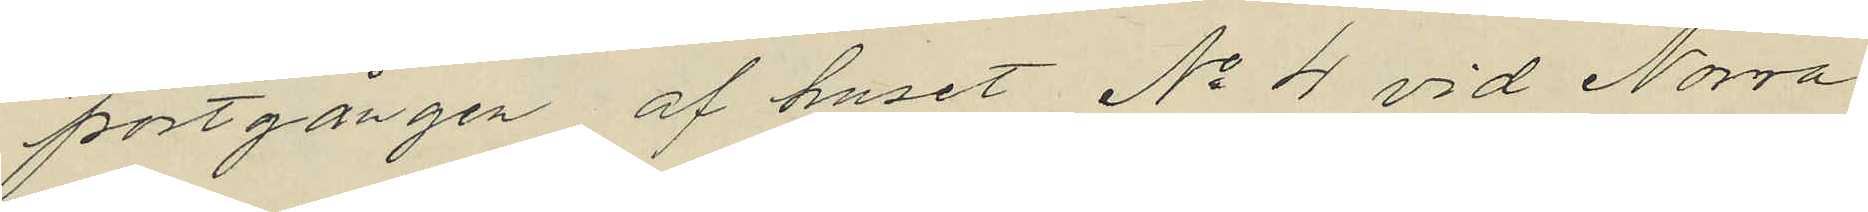portgången af huset No 4 vid Norra
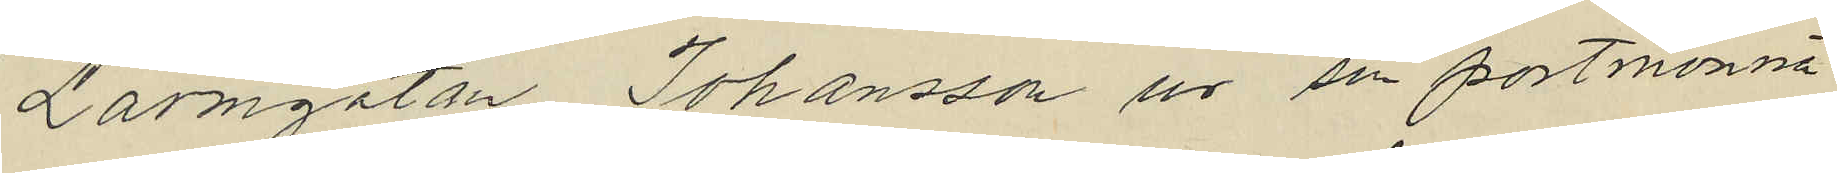Larmgatan Johansson ur en portmonnä
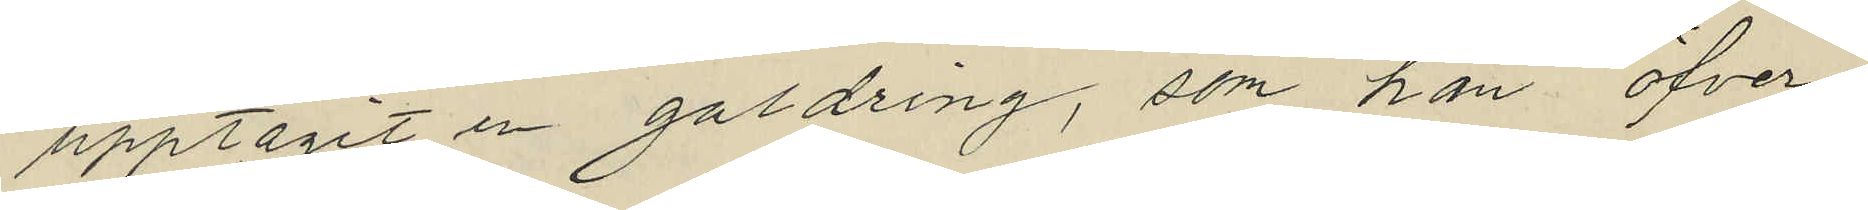upptagit en guldring, som han öfver¬
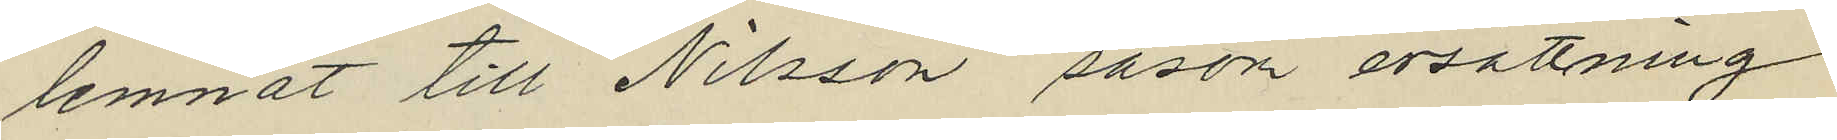lemnat till Nilsson såsom ersättning
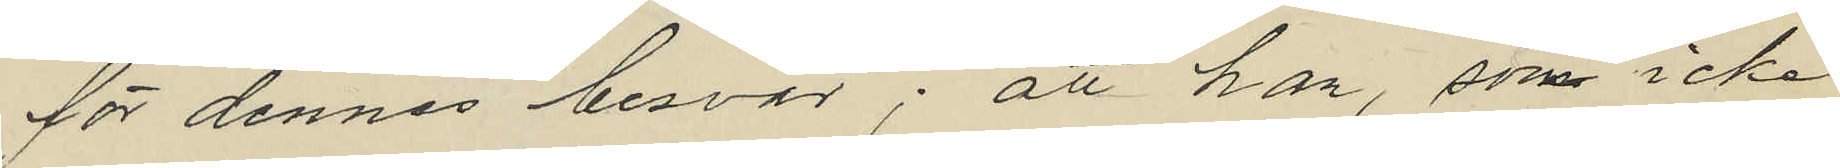för dennes besvär; att han, som icke
